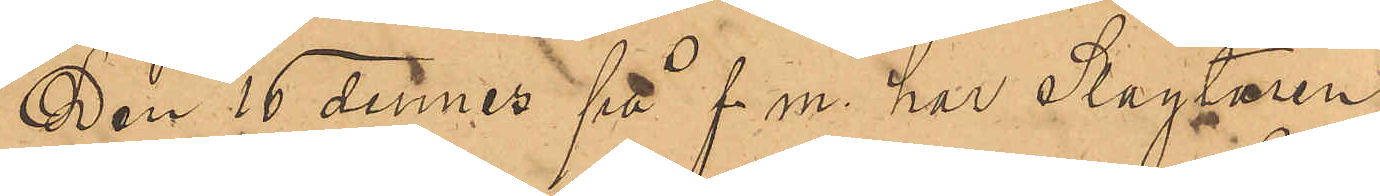Den 16 dennes på f. m. har Slagtaren
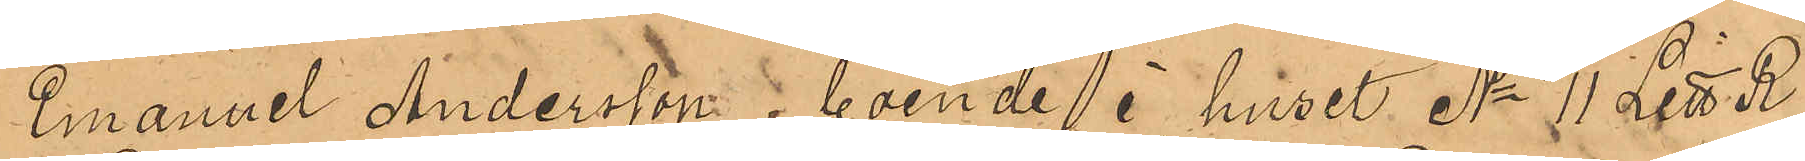Emanuel Andersson, boende i huset No 11 Litt R
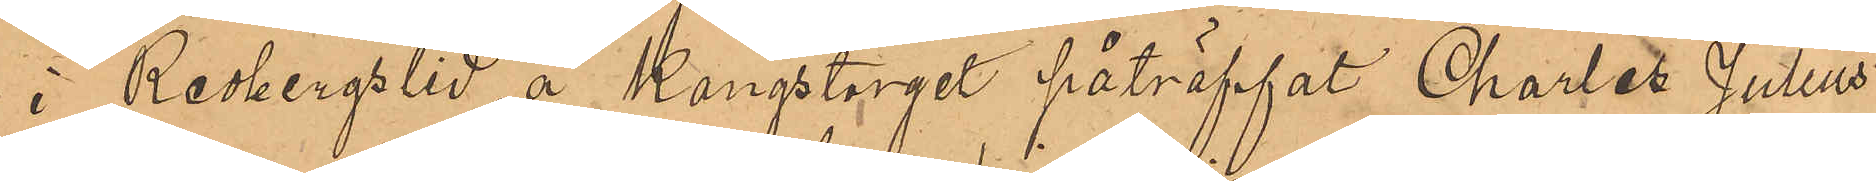i Redbergslid å Kungstorget påträffat Charles Julius
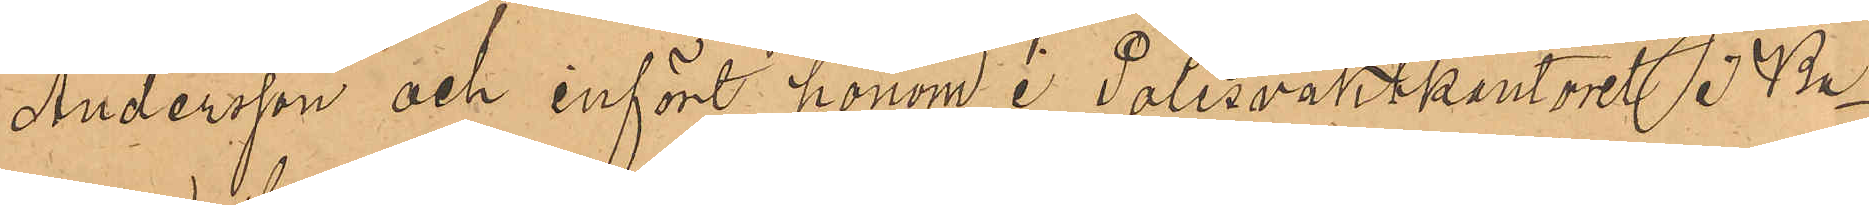Andersson och infört honom i Polisvaktkontoret i Ba¬
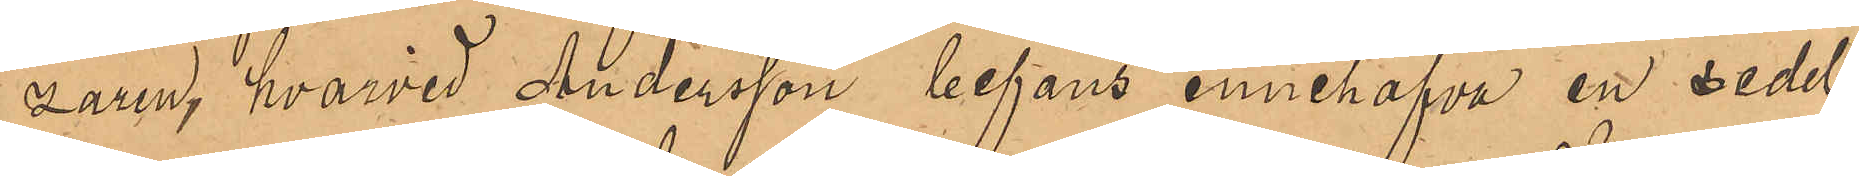zaren, hvarvid Andersson befans innehafva en sedel
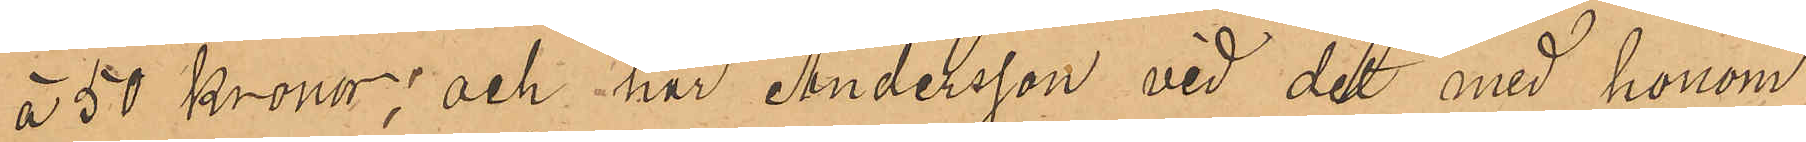å 50 kronor; och har Andersson vid det med honom
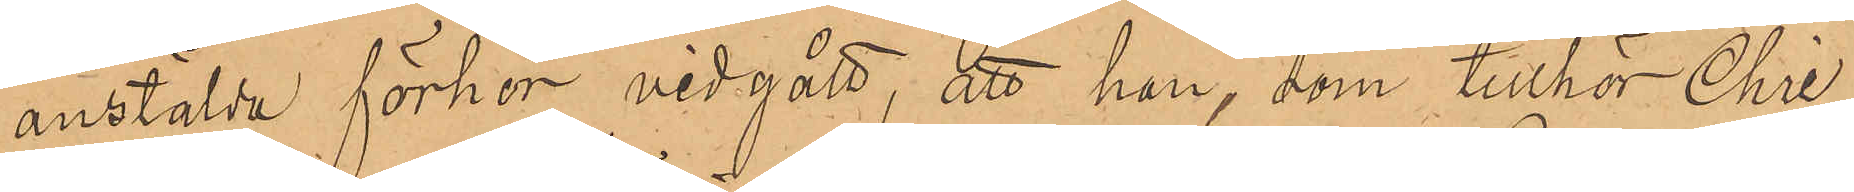anstälda förhör vidgått, att han, som tillhör Chris¬
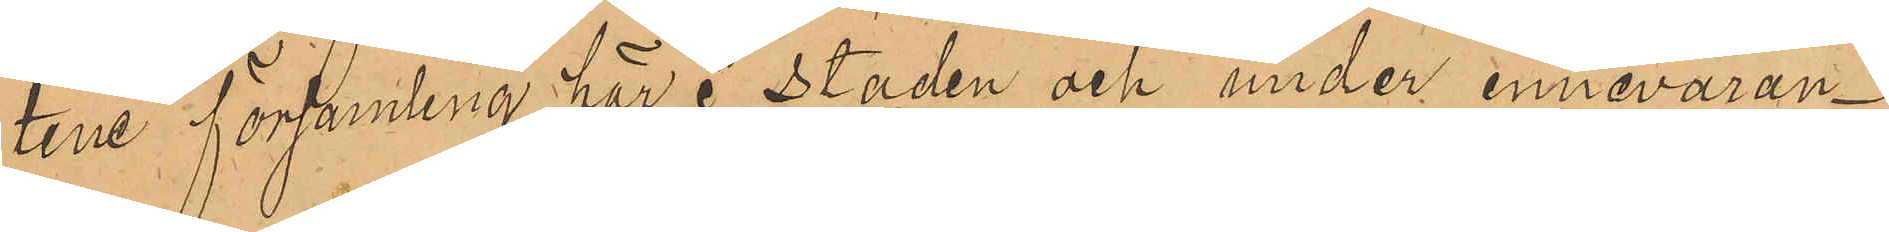tine församling här i staden och under innevaran¬
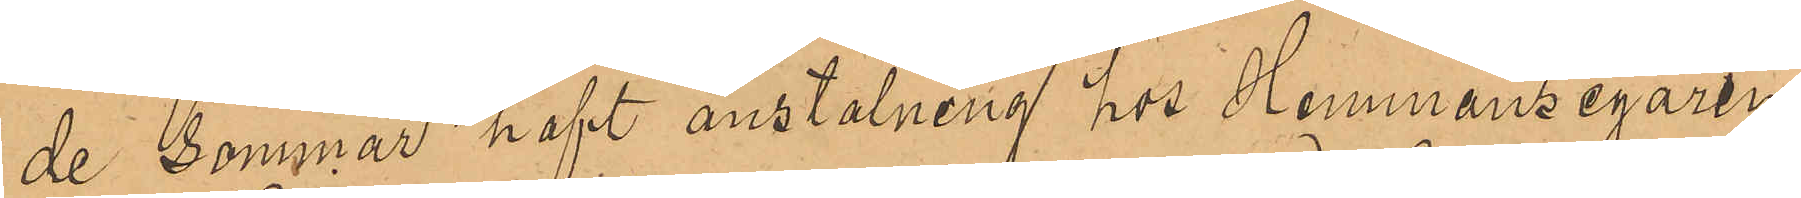de sommar haft anstälning hos Hemmansegaren
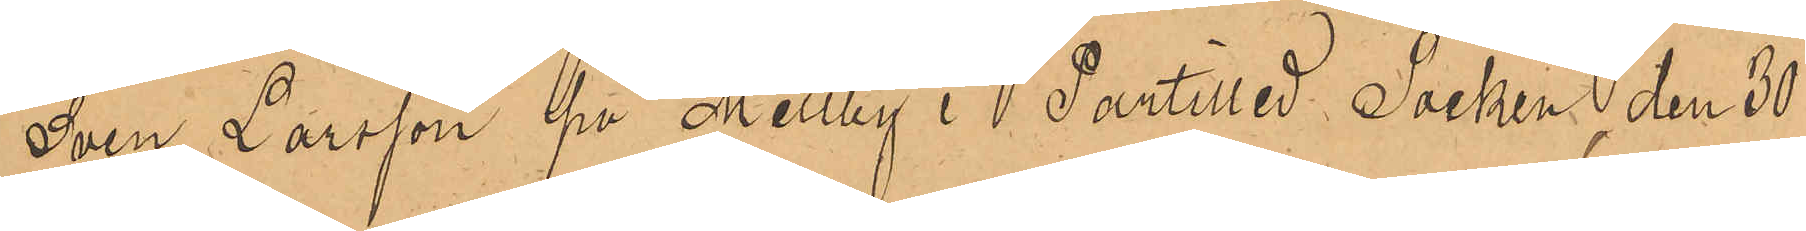Sven Larsson på Mellby i Partilled Socken, den 30
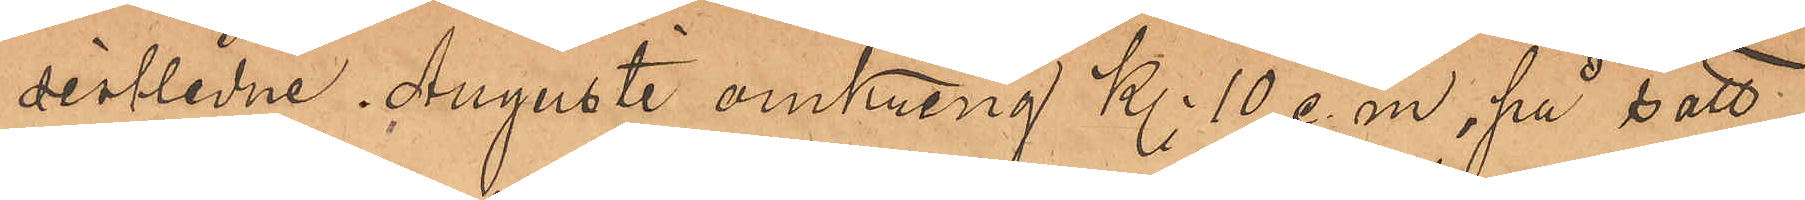sistlidne Augusti omkring Kl 10 e. m., på sätt
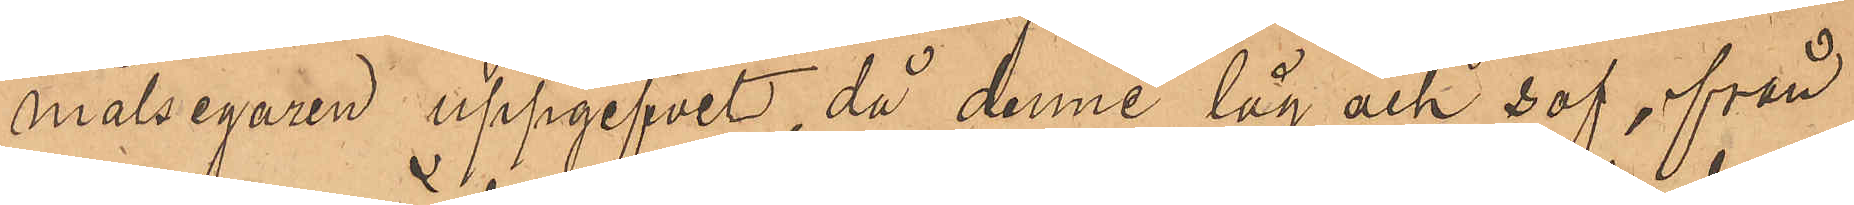målsegaren uppgifvit, då denne låg och sof, från
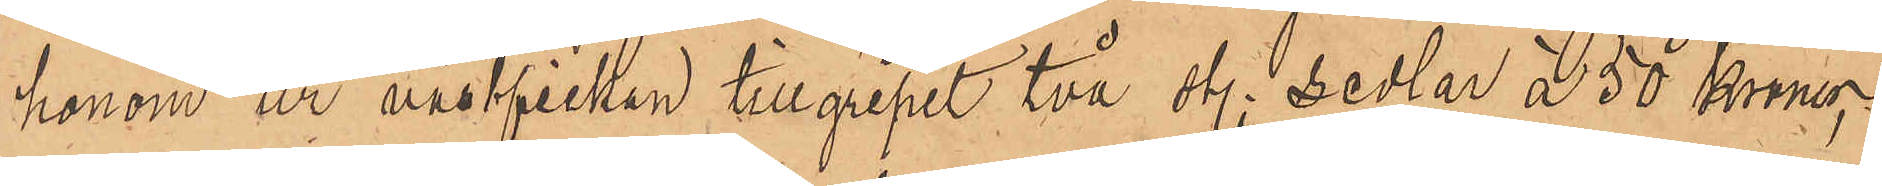honom ur västfickan tillgripit två sty. sedlar å 50 Kronor;
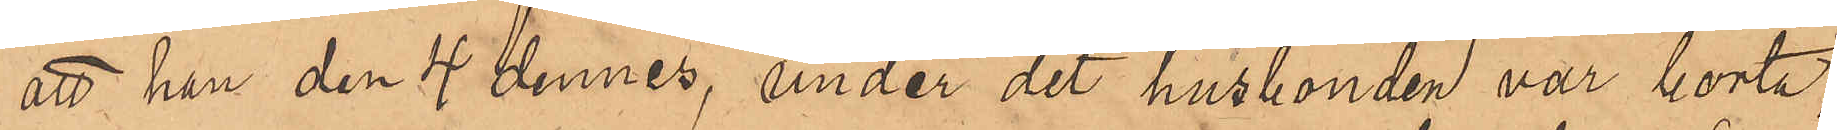att han den 4 dennes, under det husbonden var borta,
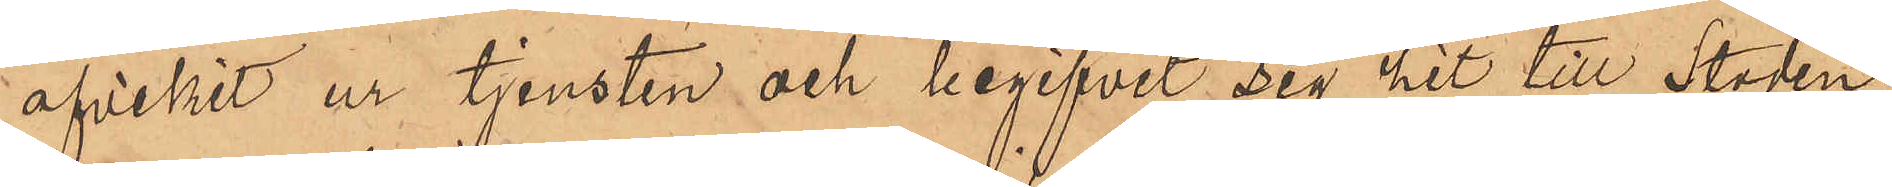afvikit ur tjensten och begifvit sig hit till Staden,
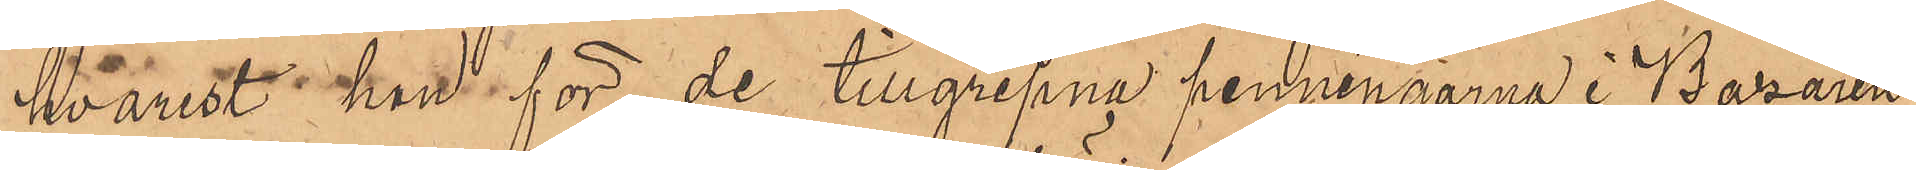hvarest han för de tillgripne penningarna i Bazaren
